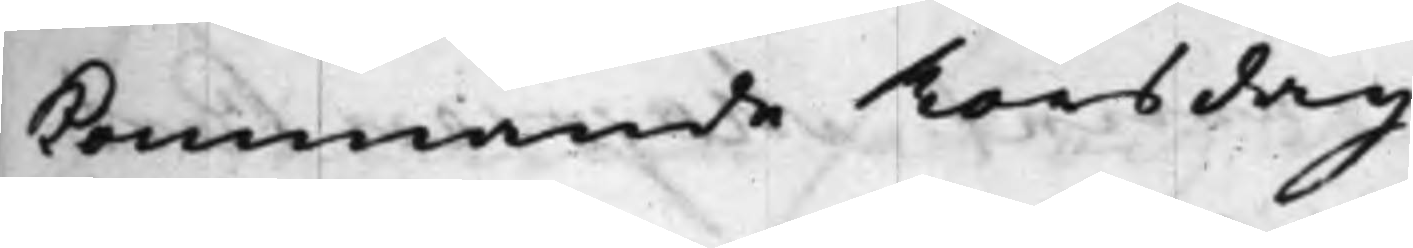kommande Torsdag.
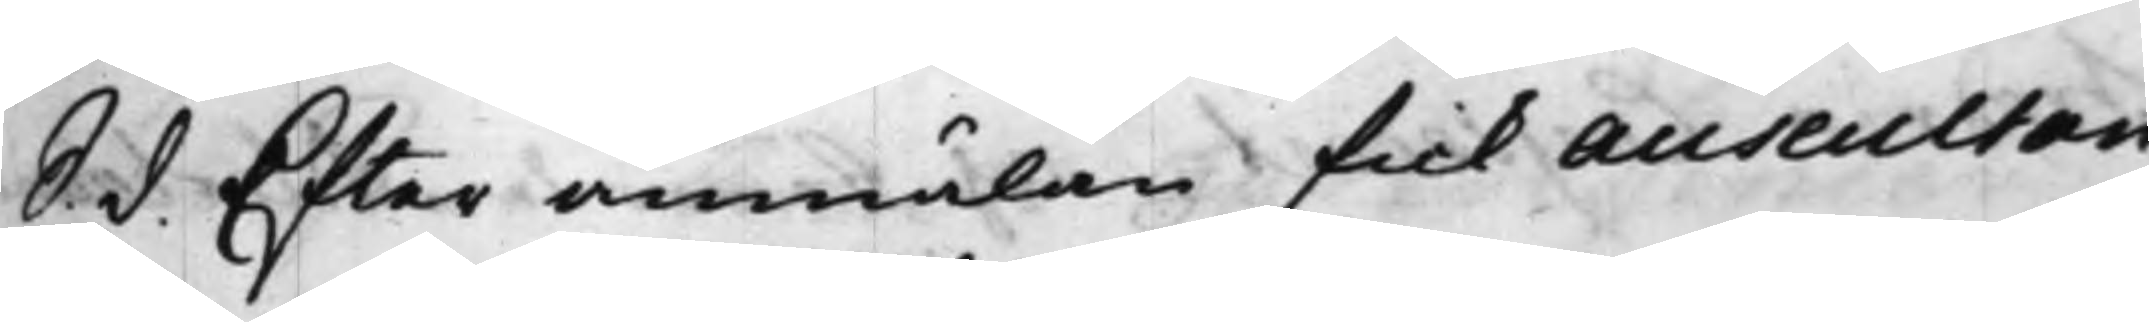S. d. Efter anmälan fick Auscultan¬
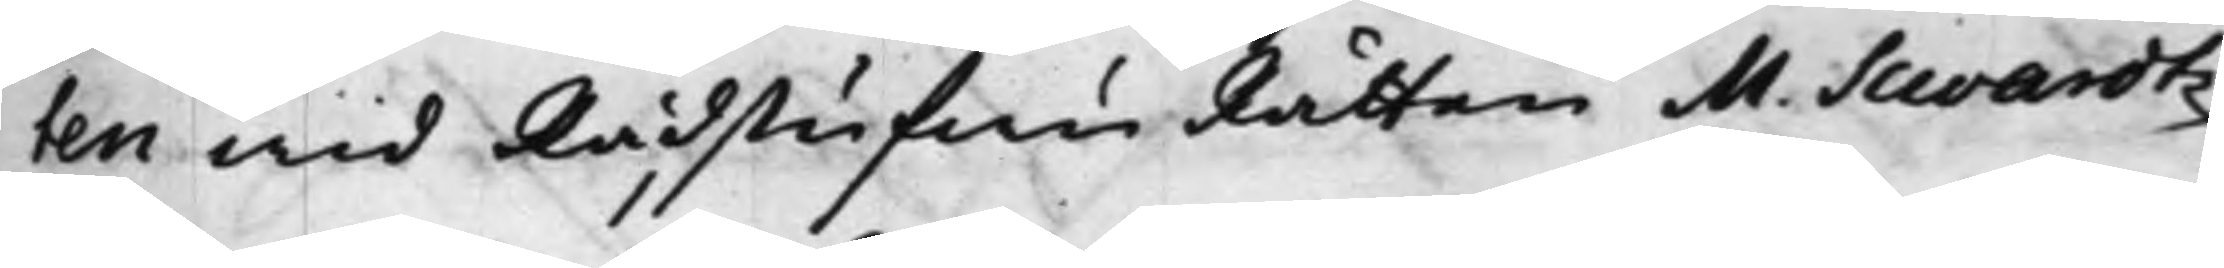ten wid RådstufwuRätten M. Swardtz
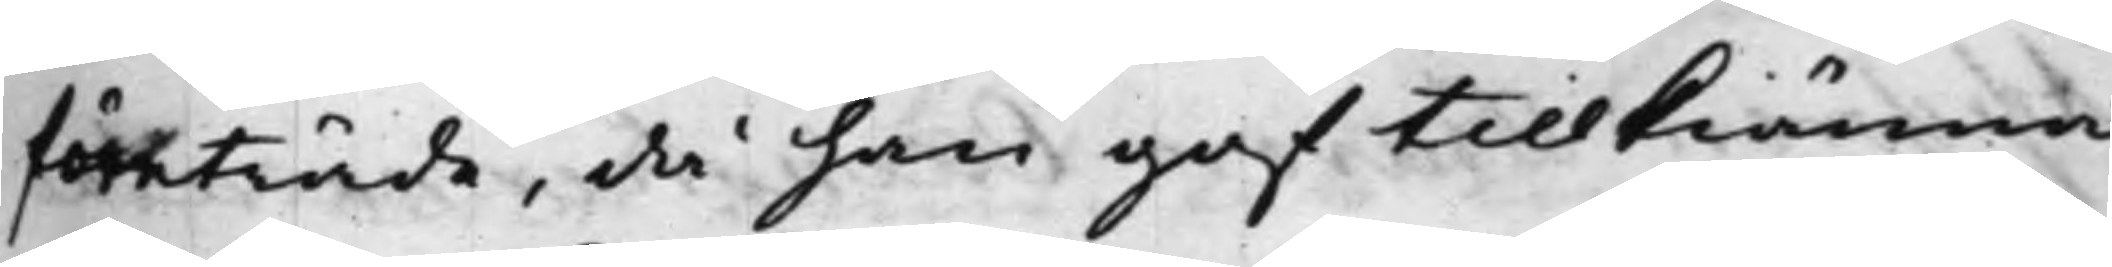företräde, då han gaf tillkiänna,
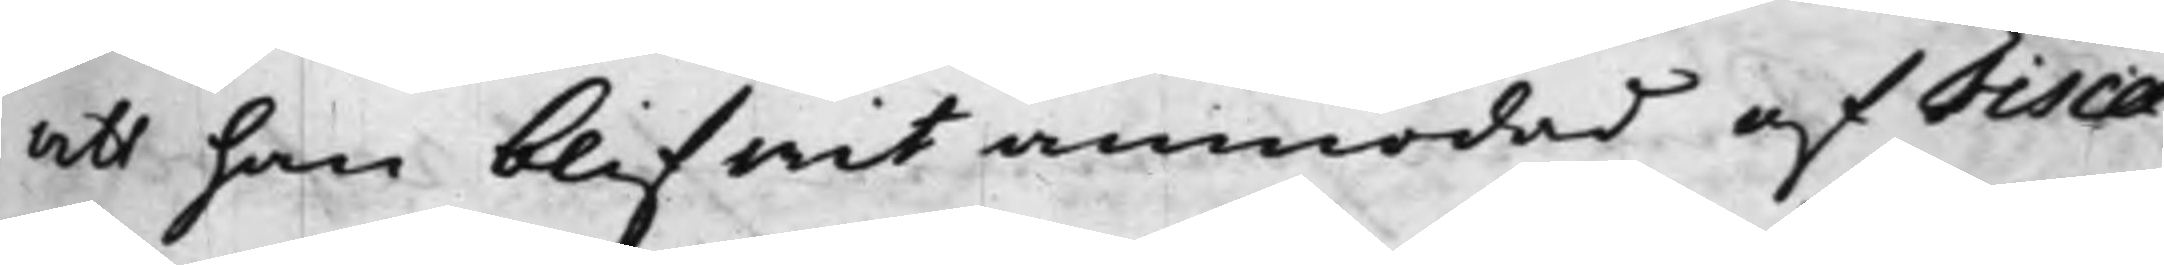att han blifwit anmodat af Fisca¬
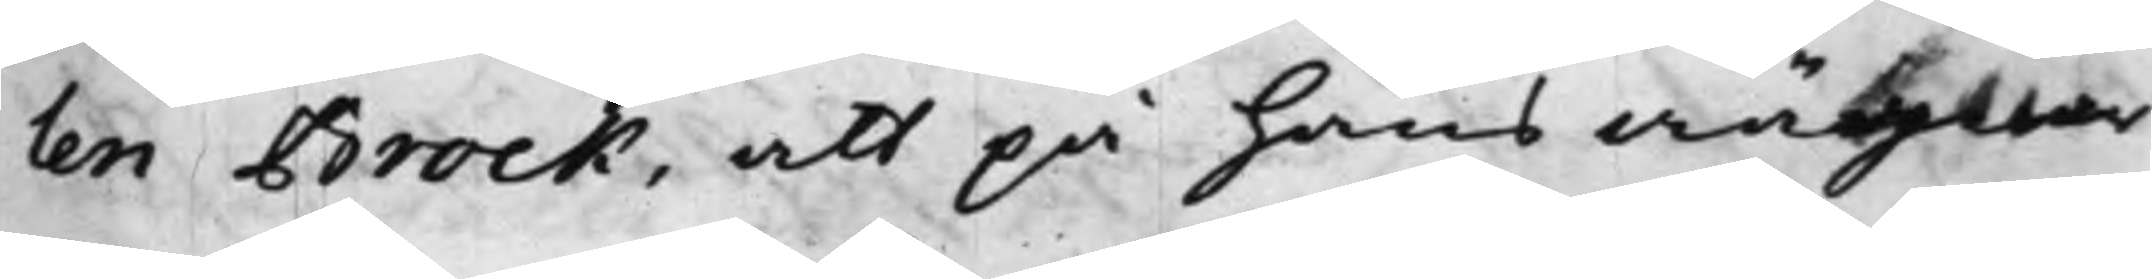len Brock, att på hans wägnar
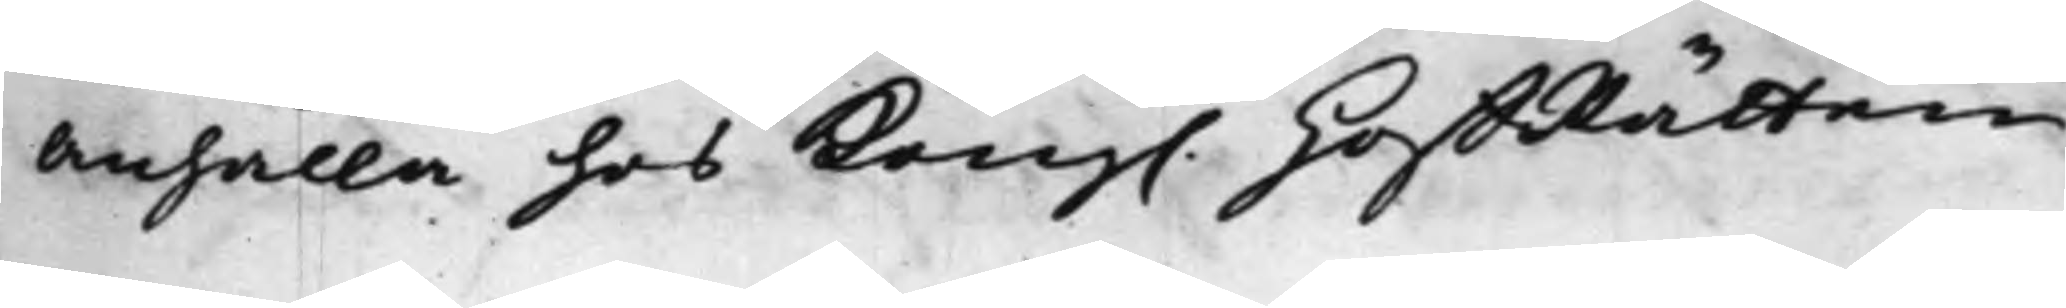anhålla hos Kong. HoffRätten, 
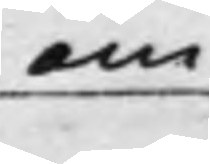om
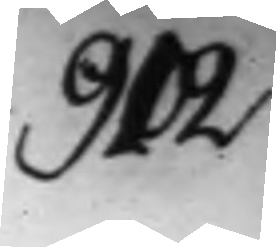902.
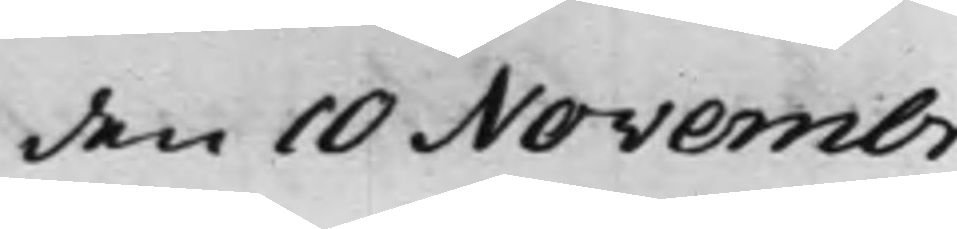den 10 Novembr.
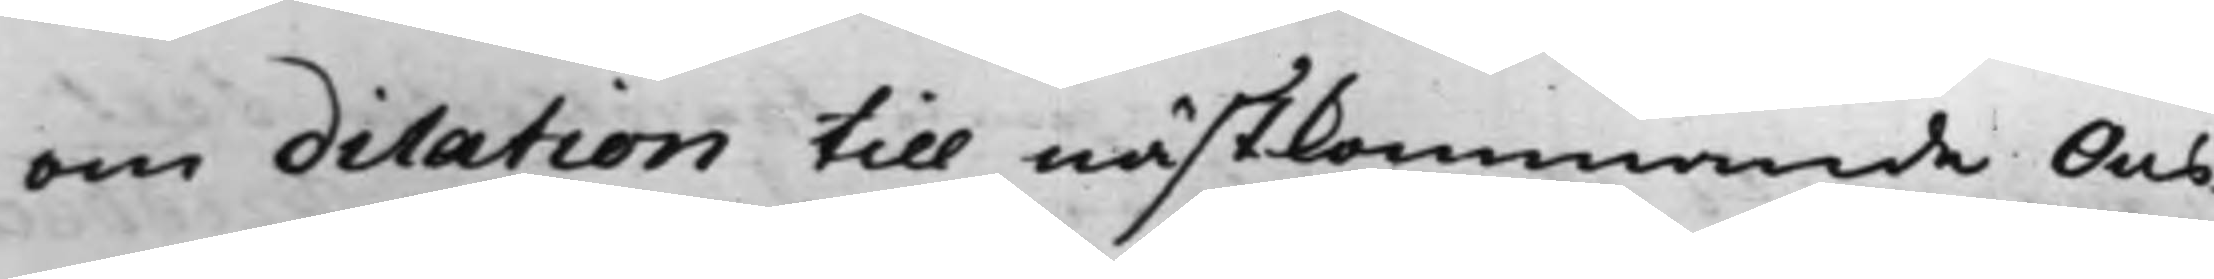om dilation till nästkommande Ons¬
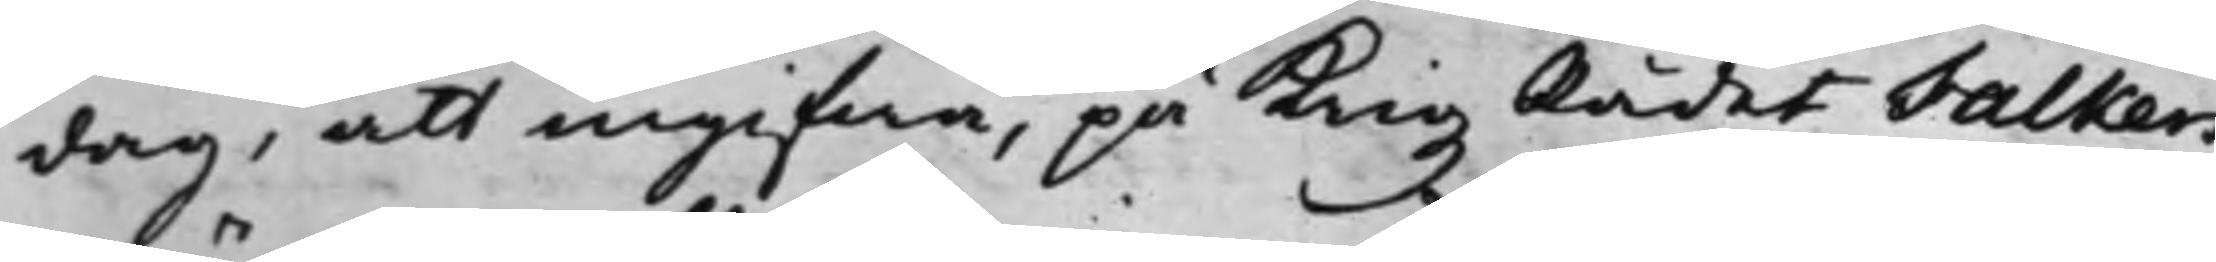dag, att ingifwa, på Krigz Rådet Falkers
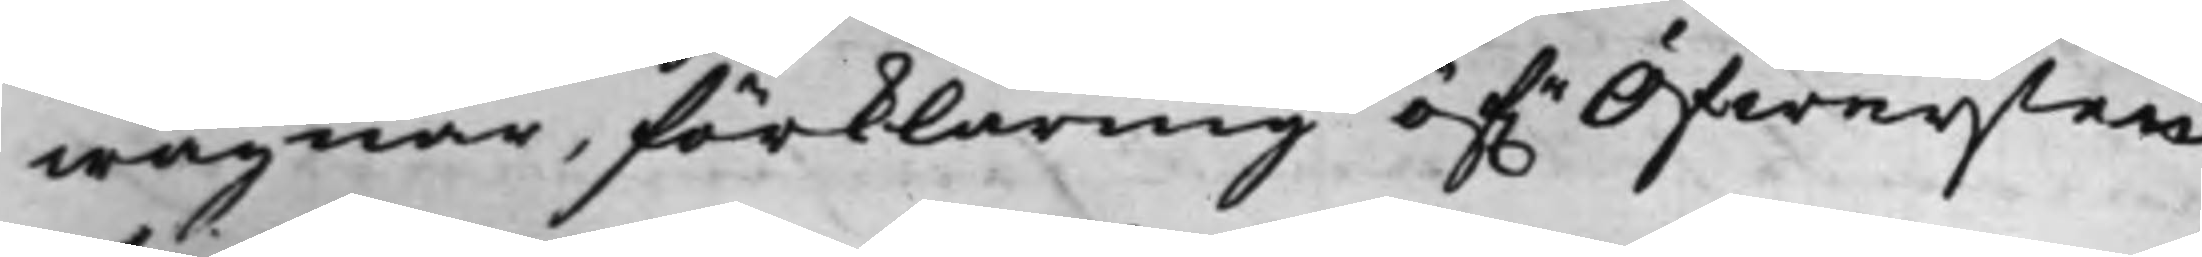wägnar, förklaring öf.r Öfwersten
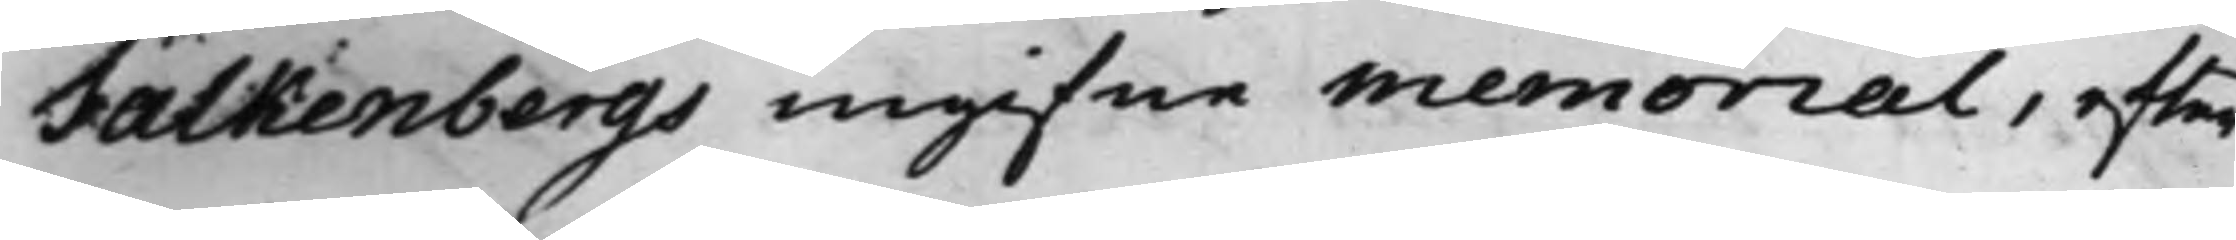Falkenbergs ingifne Memorial, efter¬
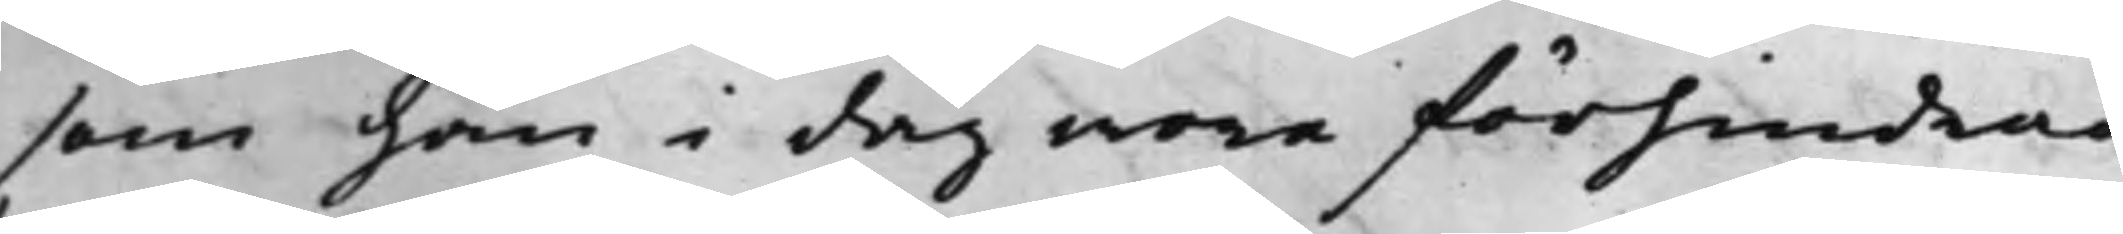som han i dag wore förhindrad
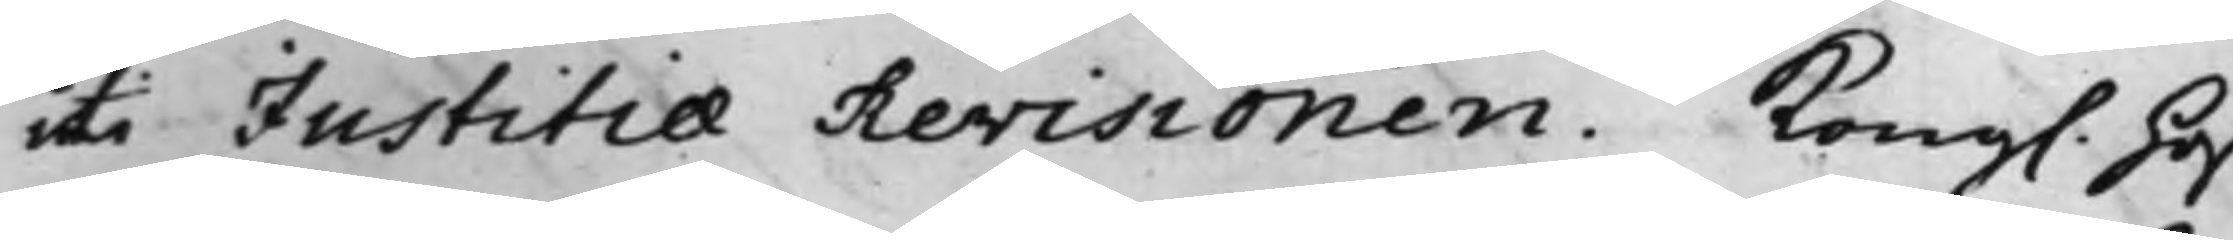uti Justitiae Revisionen. Kong. Hoff¬
